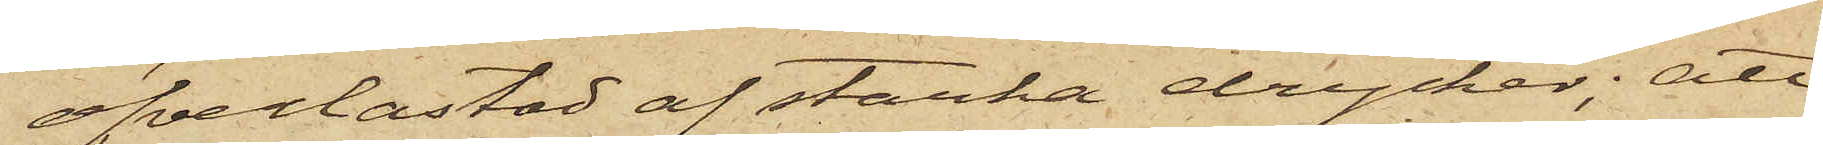öfverlastad af starka drycker; att
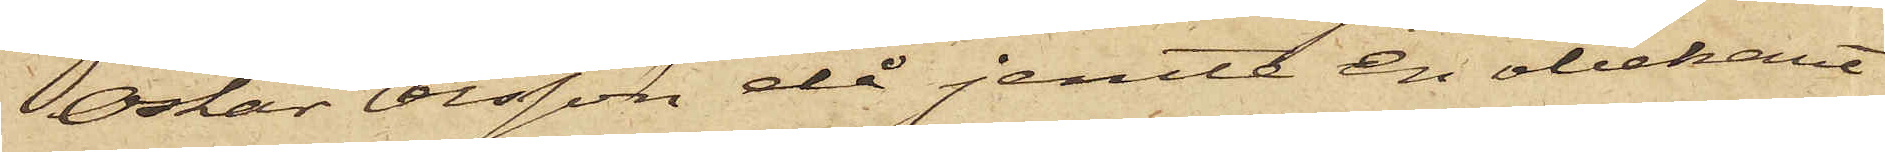Oskar Olsson då jemte en obekant
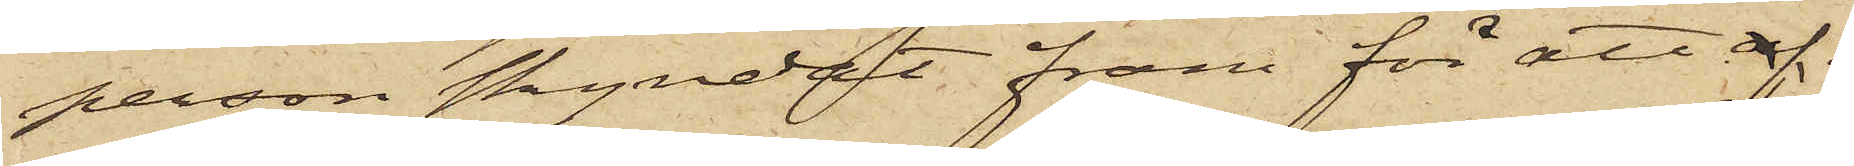person skyndat fram för att af¬
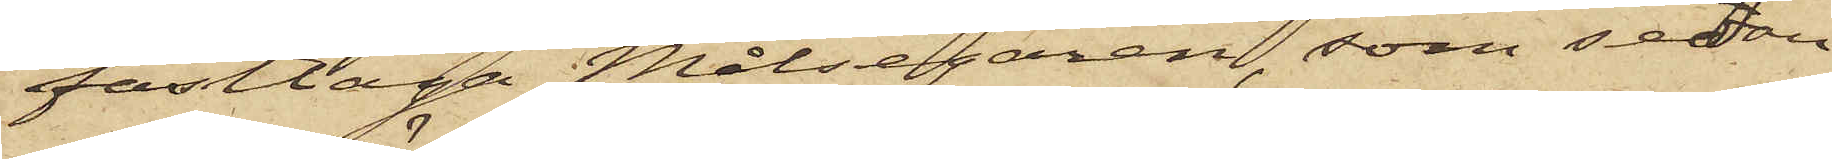fasttaga Målsegaren, som sedan
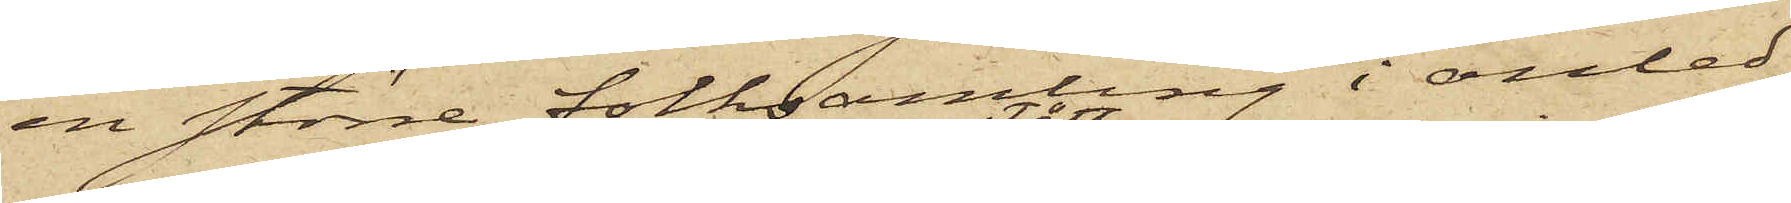en större folksamling i anled¬
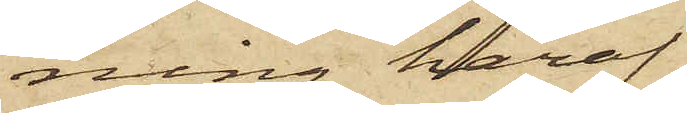ning häraf
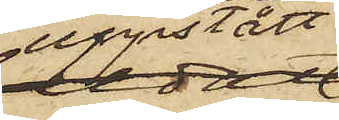uppstått,
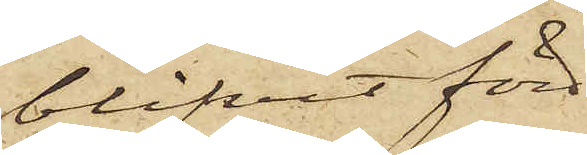blifvit förd
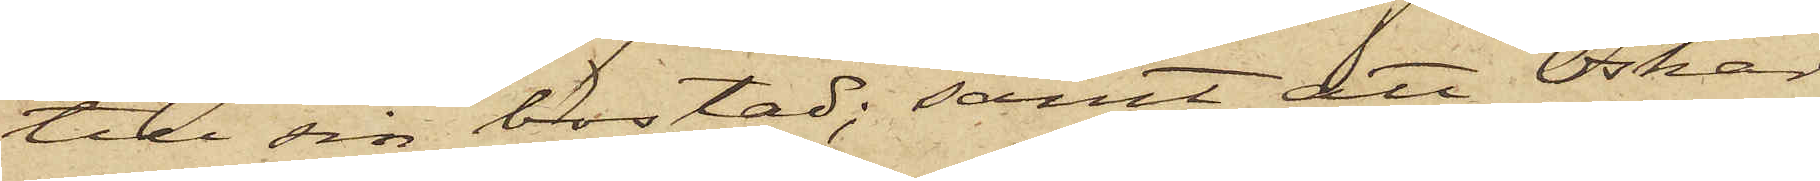till sin bostad; samt att Oskar
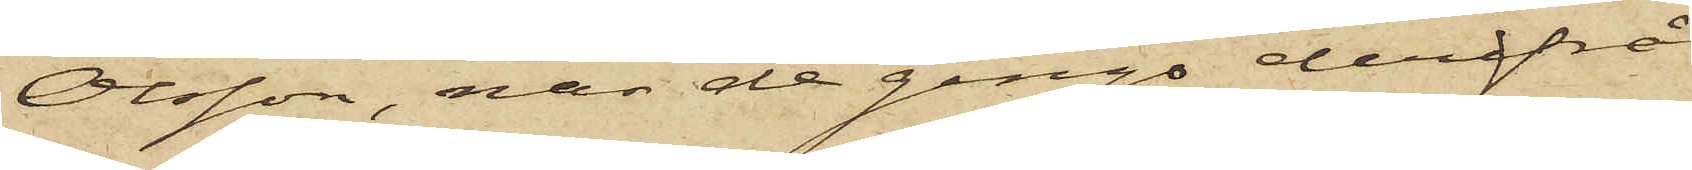Olsson, när de ginge derifrån
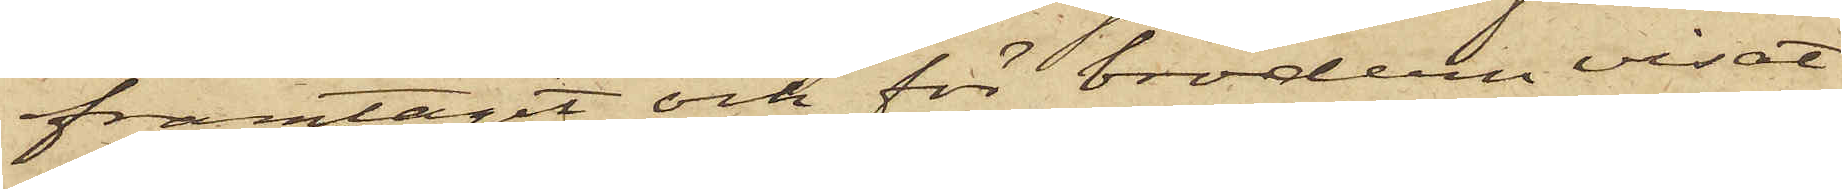framtagit och för brodern visat
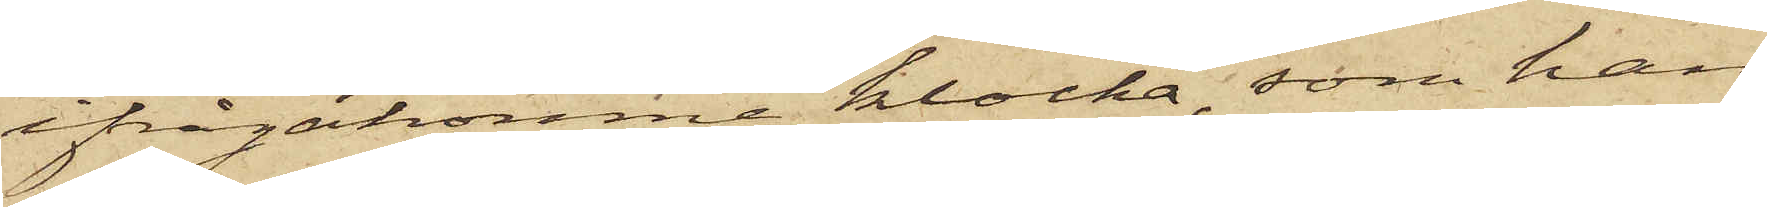ifrågakomne klocka, som han
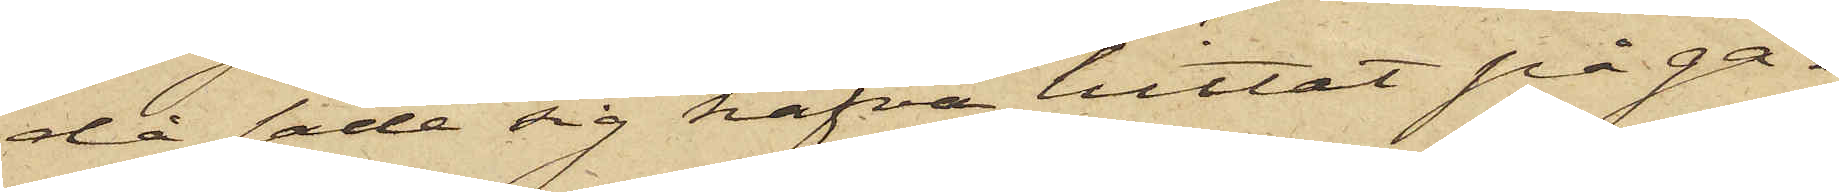då sade sig hafva hittat på ga¬
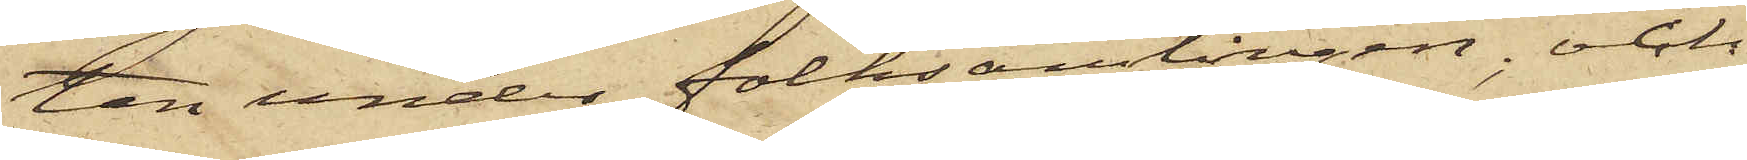tan under folksamlingen; och
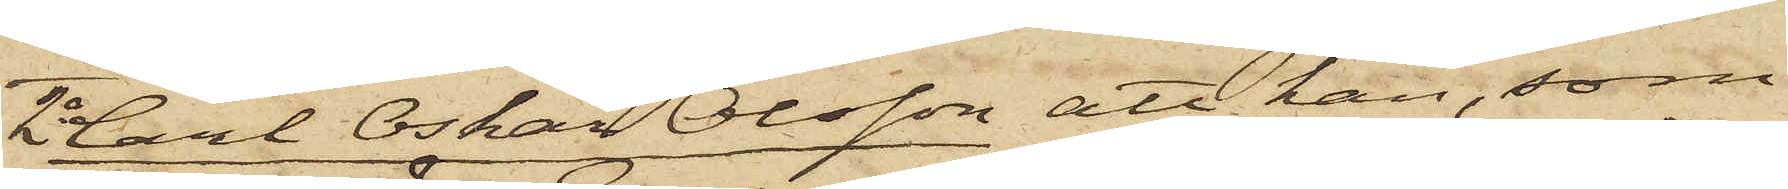2o Carl Oskar Olsson att han, som
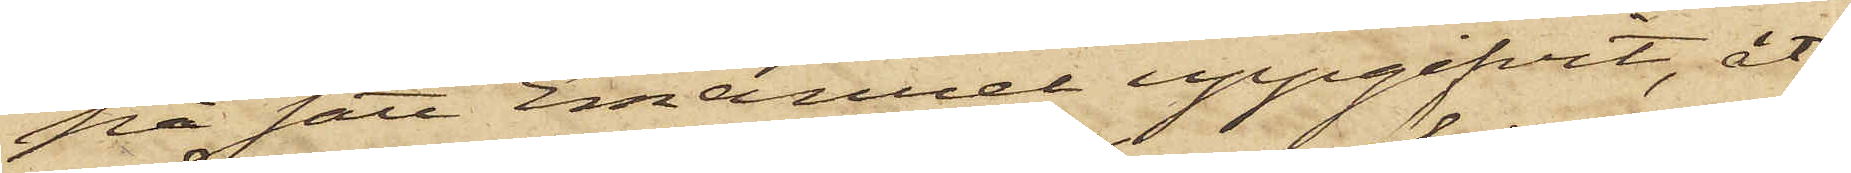på sätt Emanuel uppgifvit, åt¬
